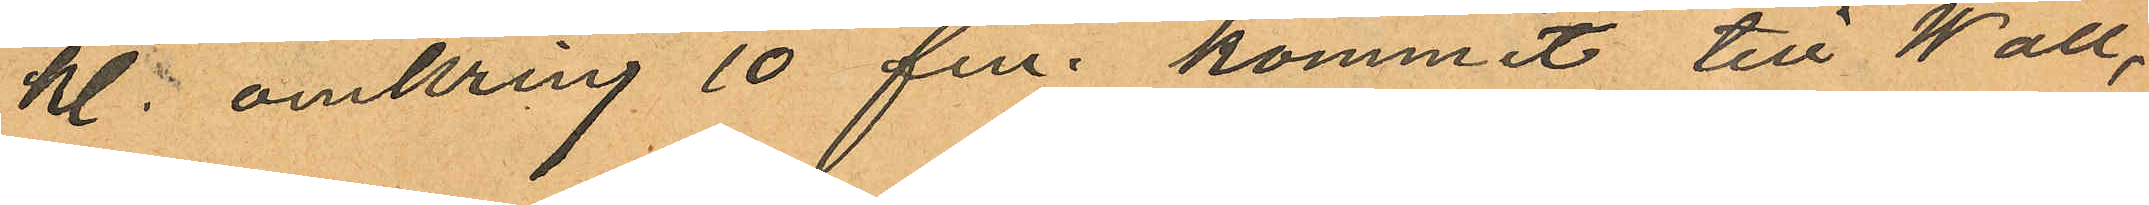kl. omkring 10 fm. kommit till Wall,
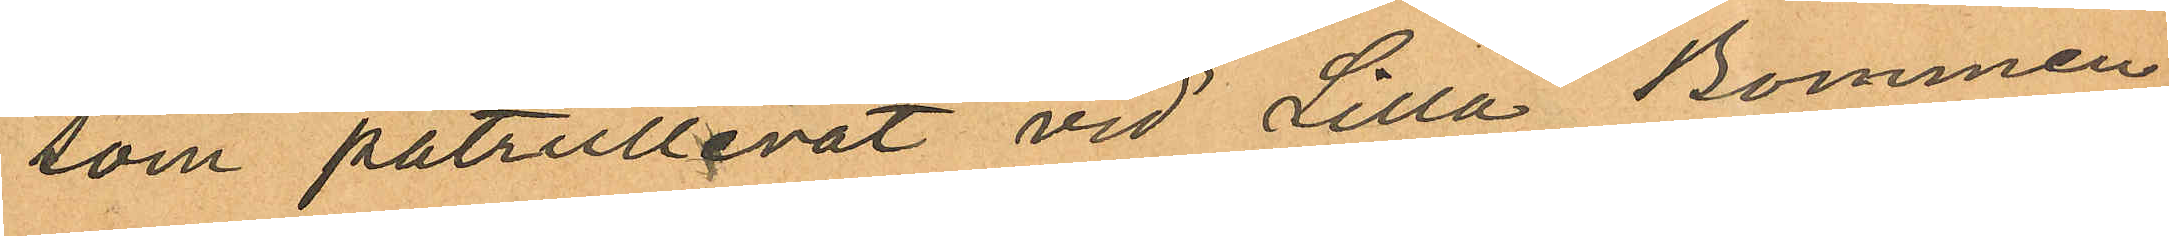som patrullerat vid Lilla Bommen
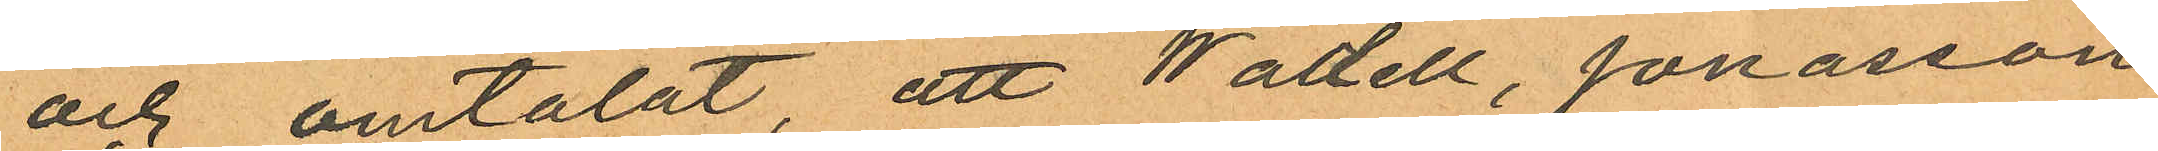och omtalat, att Wadell, Jonasson
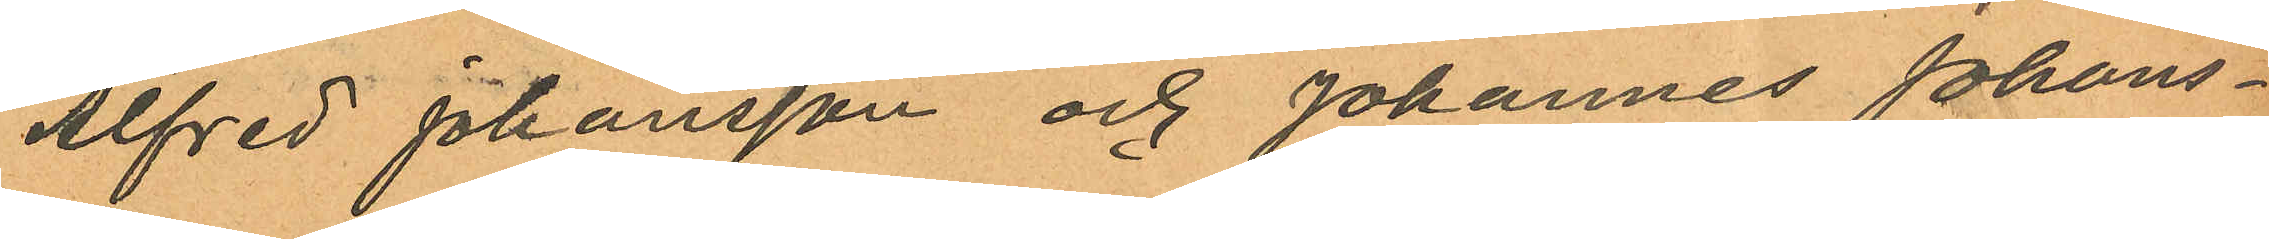Alfred Johansson och Johannes Johans¬
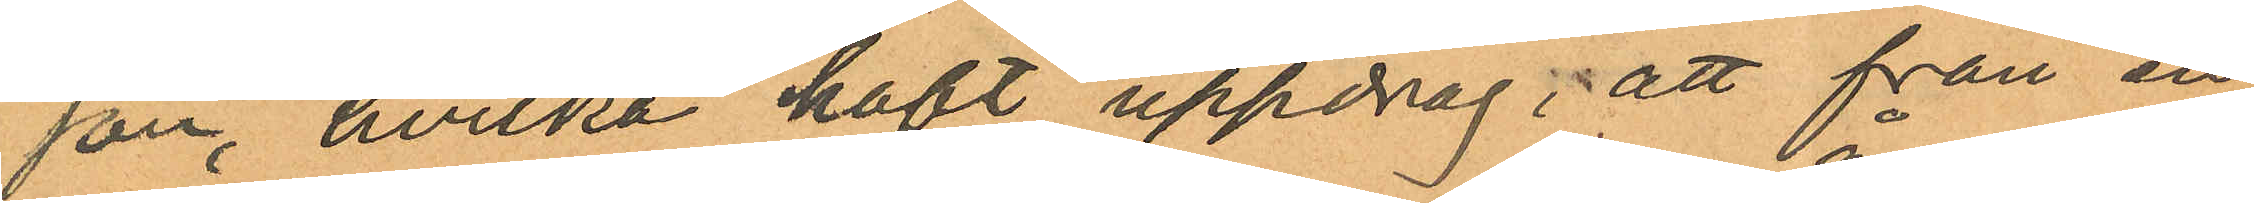son, hvilka haft uppdrag; att från en
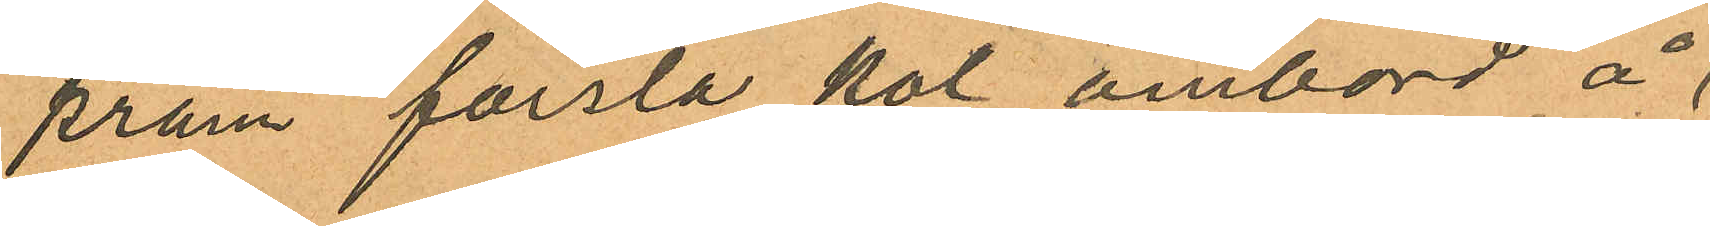pråm forsla kol ombord å
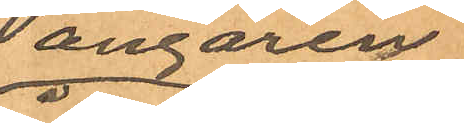ångaren
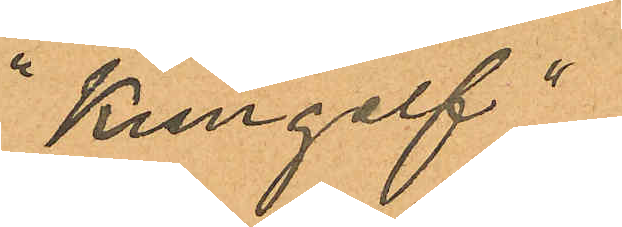"Kungelf"
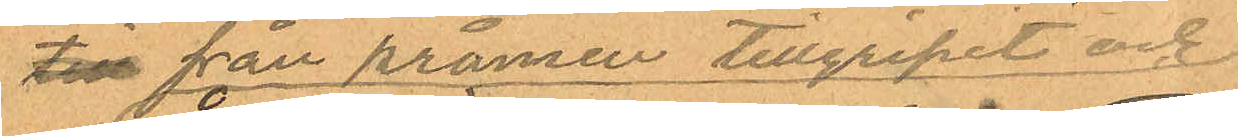till från pråmen tillgripit och
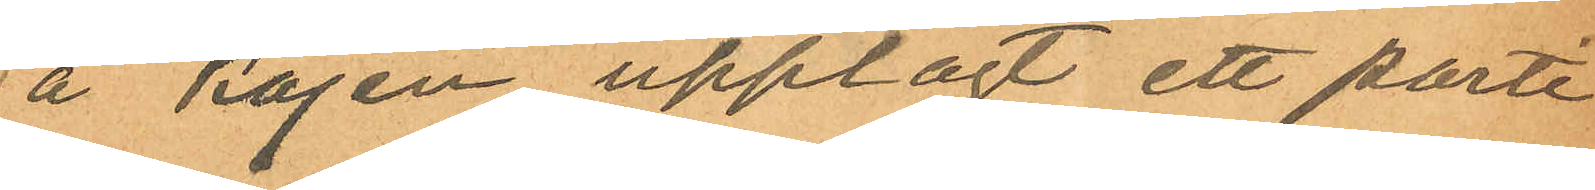å kajen upplagt ett parti
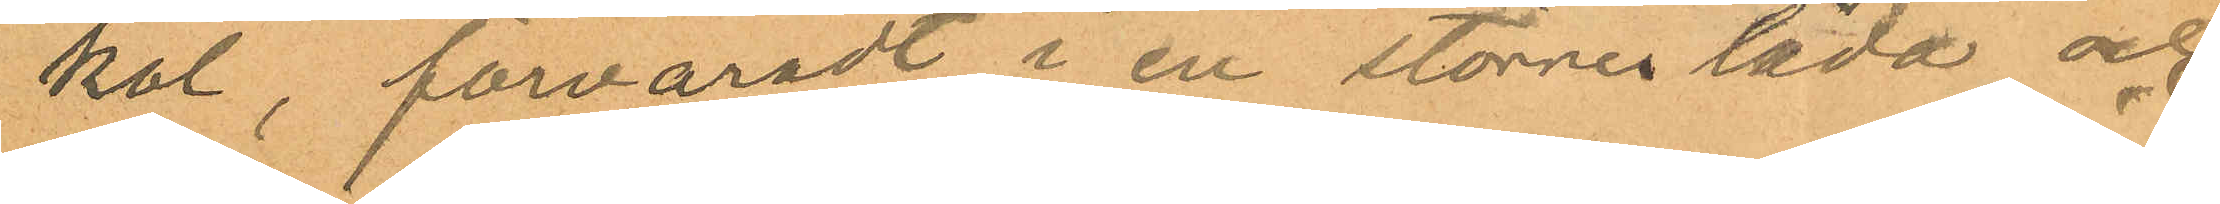kol, förvaradt i en större låda och
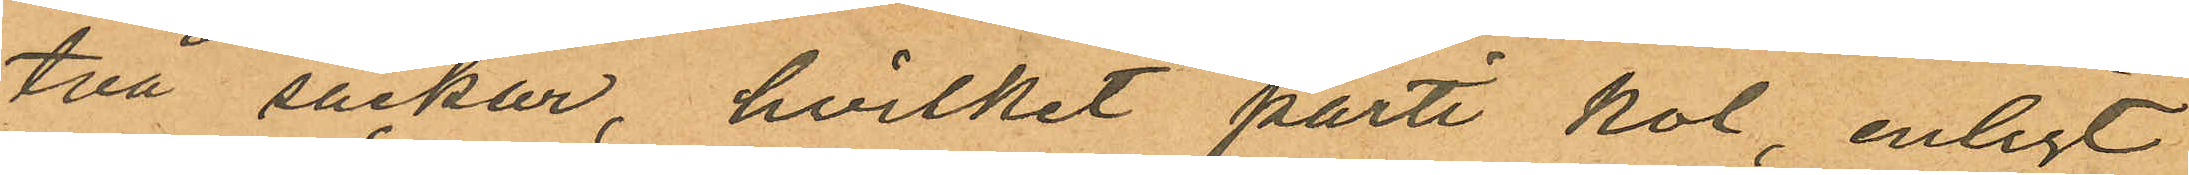två säckar, hvilket parti kol, enligt
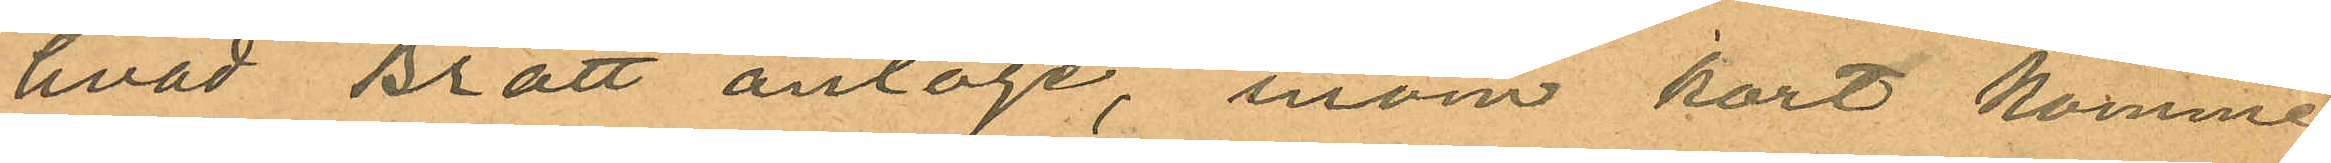hvad Bratt antoge, inom kort komme
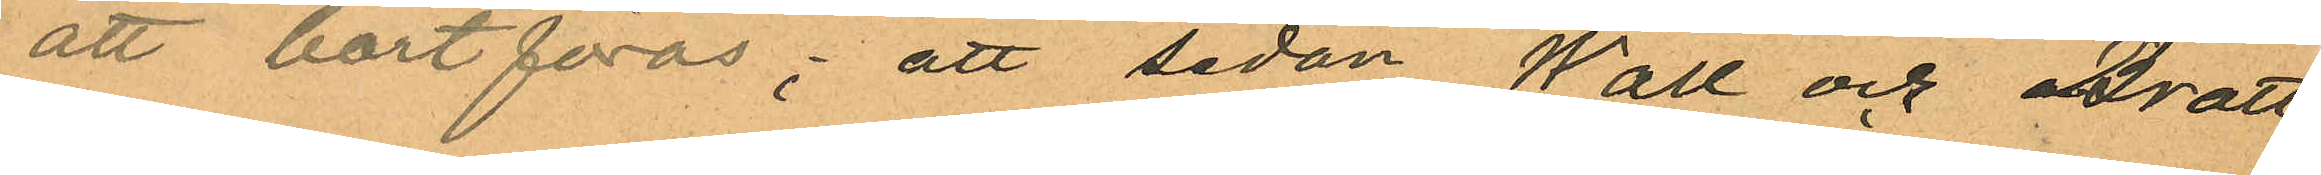att bortföras; att sedan Wall och Bratt
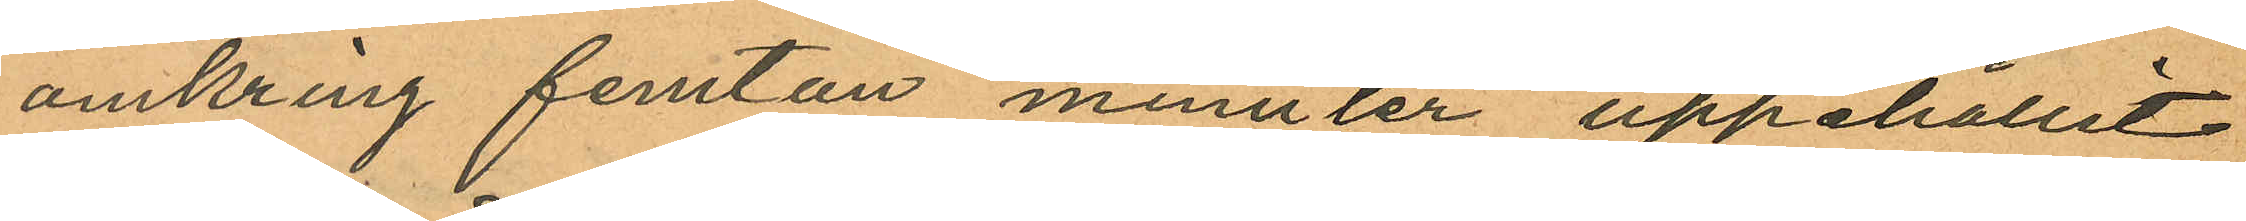omkring femton minnter uppehållit
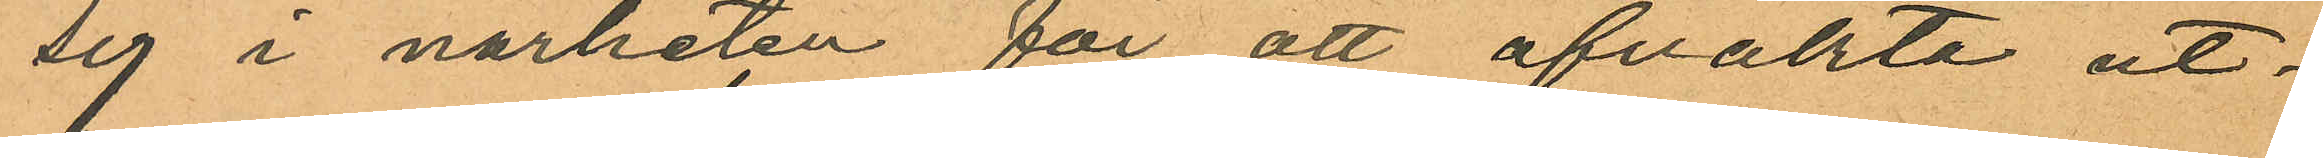sig i närheten för att afvakta ut¬
